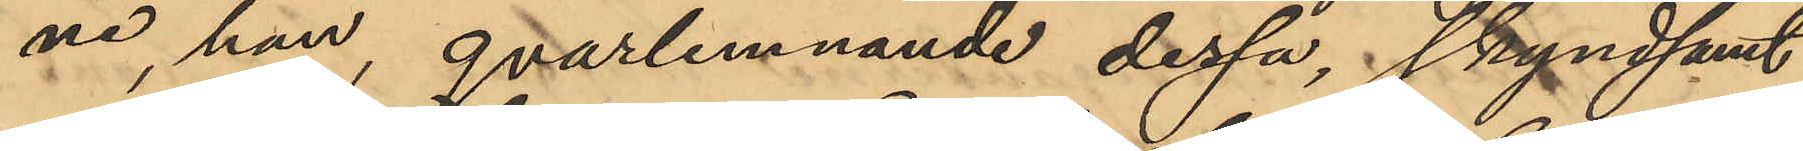ne, han, qvarlemnande dessa, skyndsamt
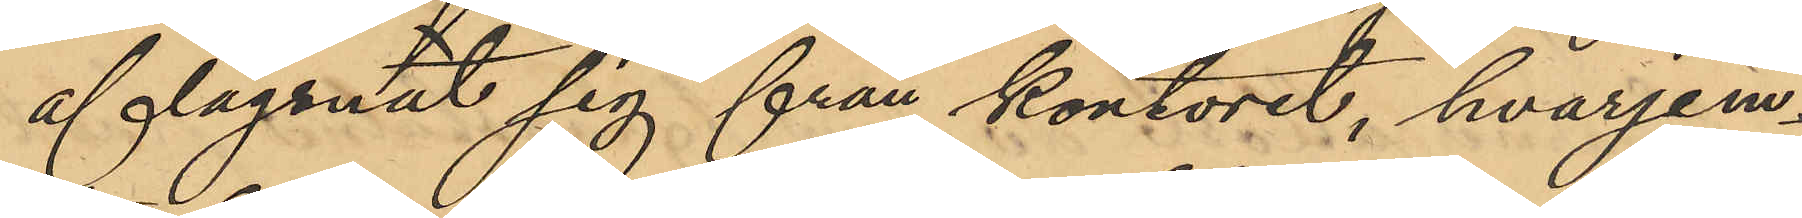aflägsnat sig från kontoret, hvarjem¬
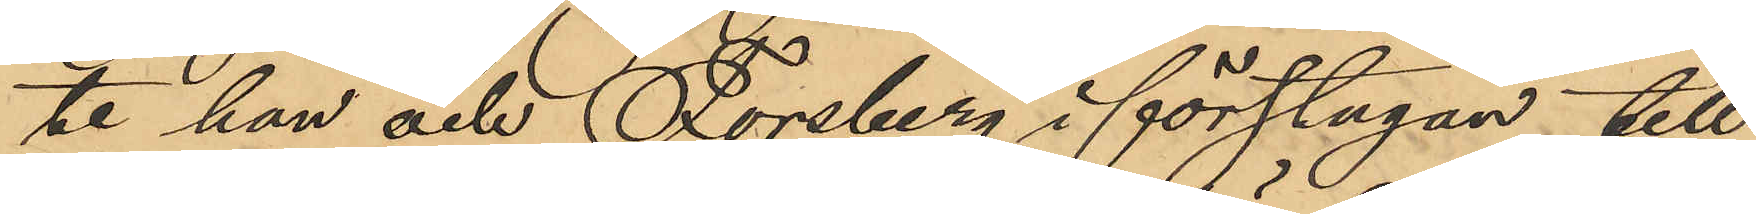te han och Forsberg i förstugan till
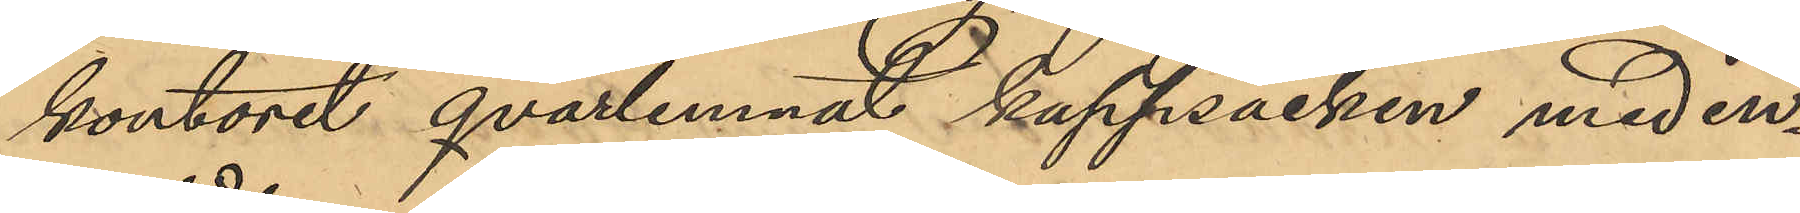kontoret qvarlemnat kappsäcken med in¬
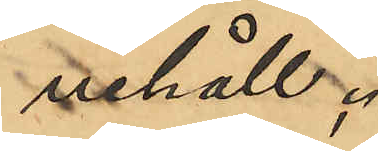nehåll;
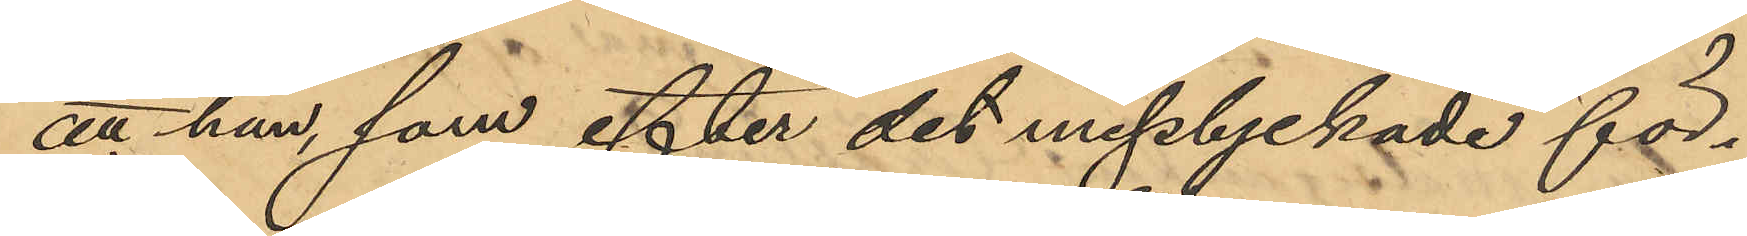att han, som efter det misslyckade för¬
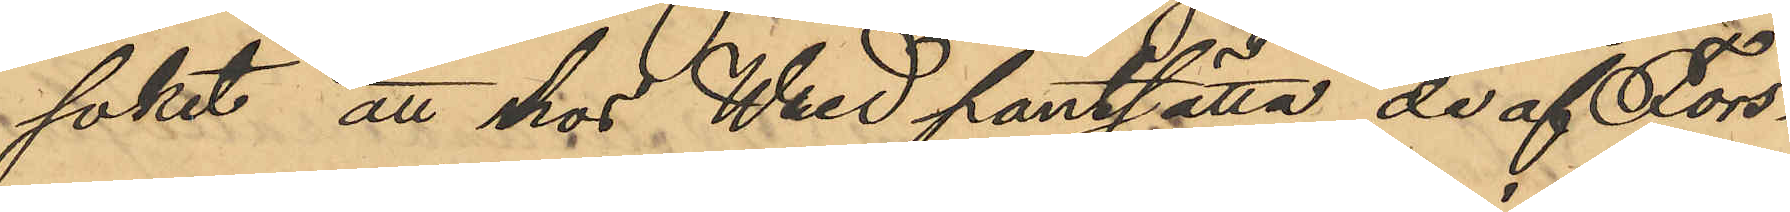söket att hos Wred pantsätta de af Fors¬
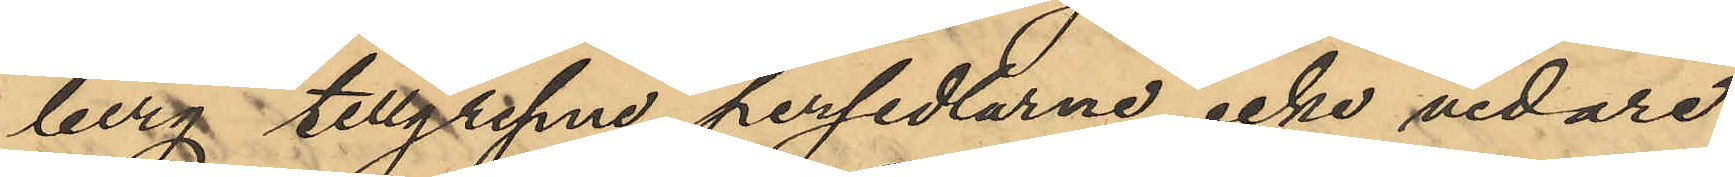berg tillgripne persedlarne icke vidare
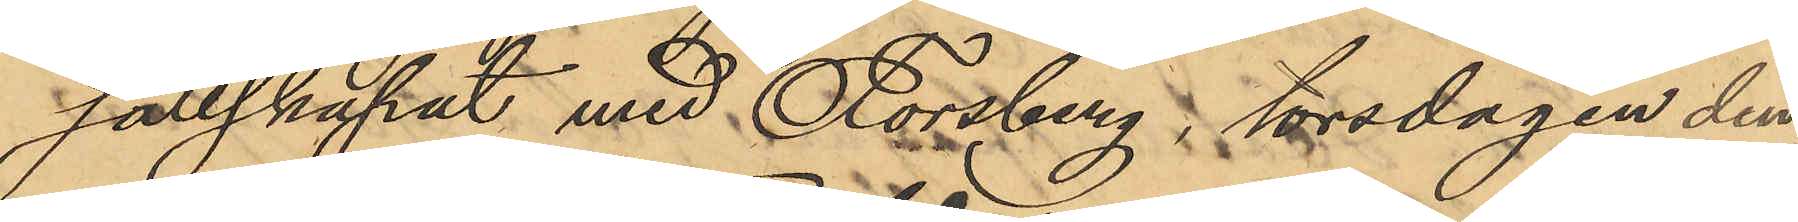sällskapat med Forsberg, torsdagen den
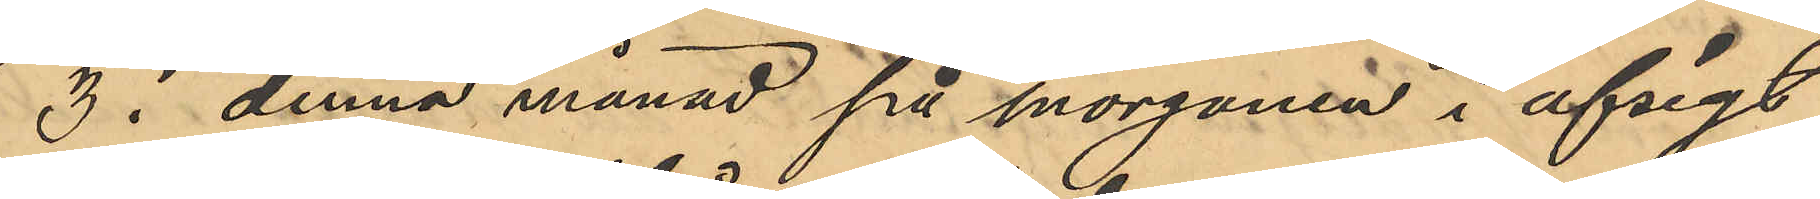3 i denna månad på morgonen i afsigt
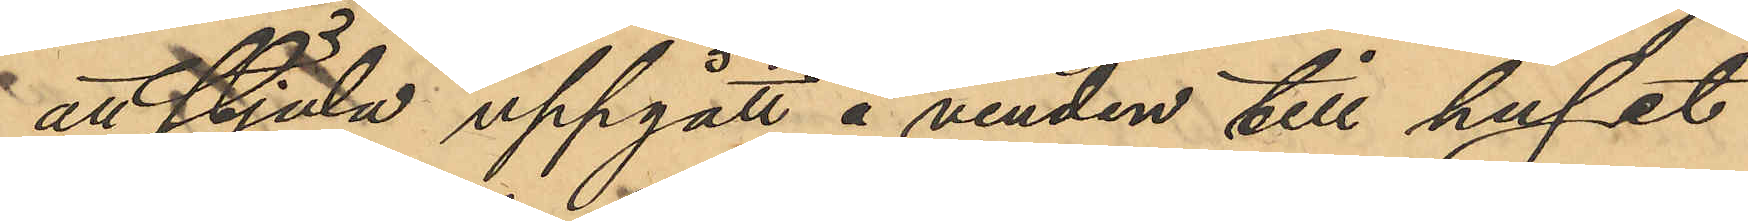att stjäla uppgått å vinden till huset
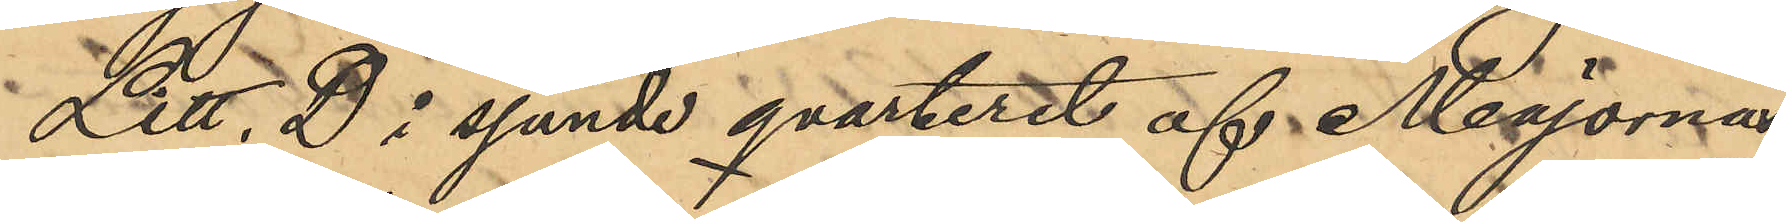Litt. D i sjunde qvarteret af Majorna
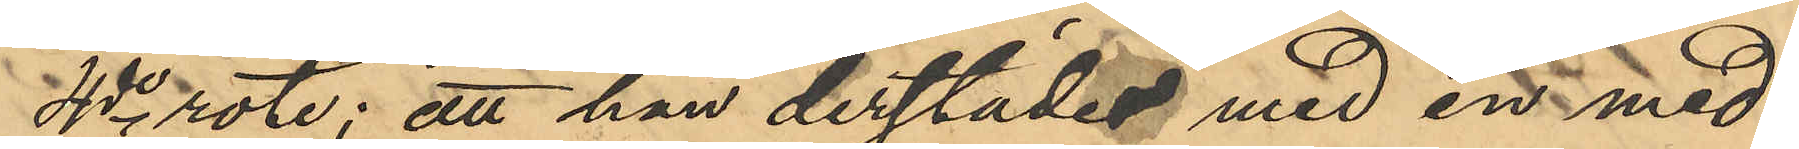4de rote; att han derstädes med en med¬
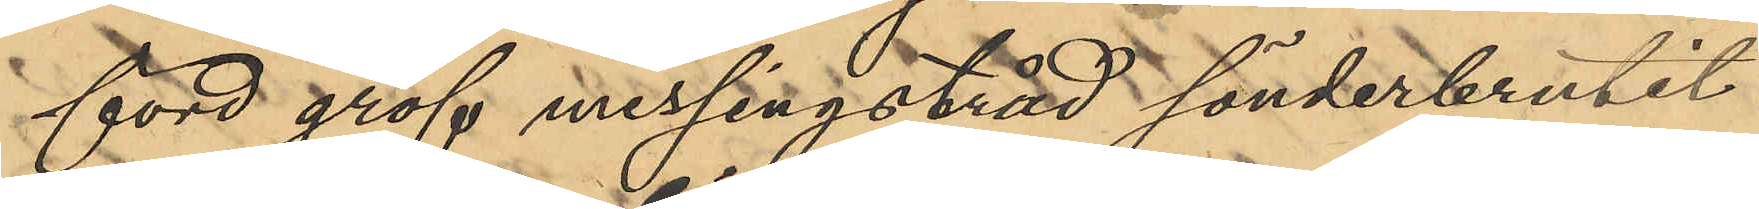förd grof messingstråd sönderbrutit
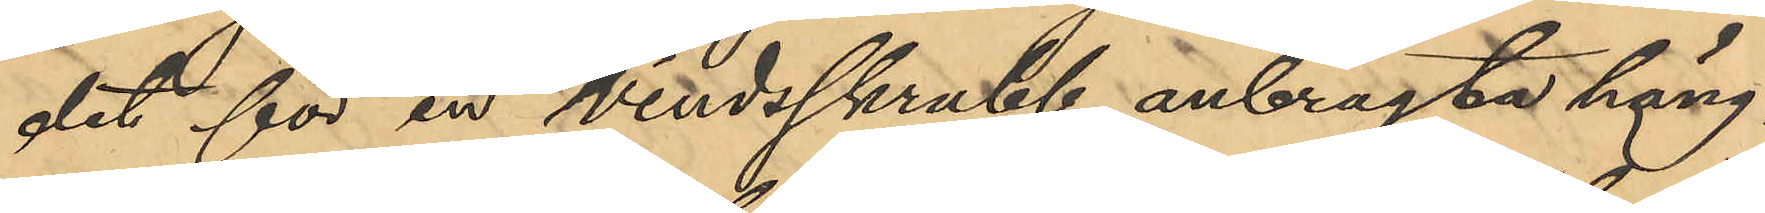det för en vindsskrubb anbragta häng-
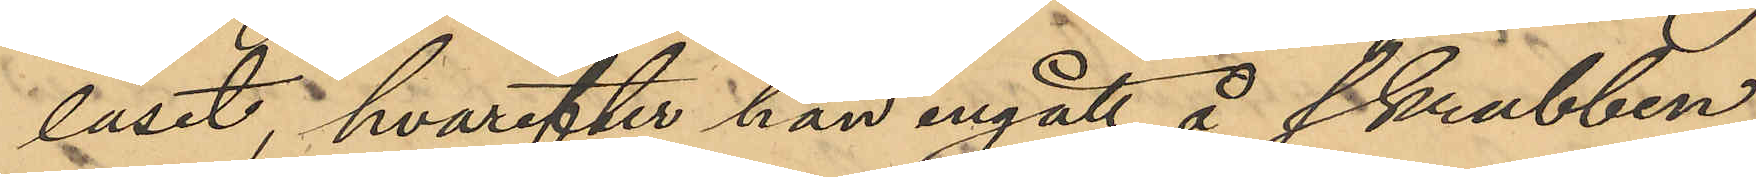låset, hvarefter han ingått å skrubben
